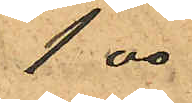1,00
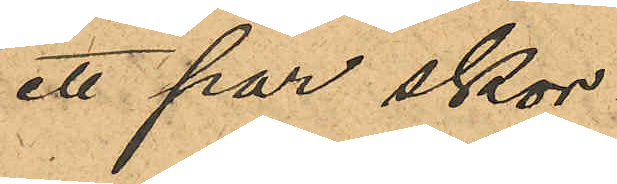ett par skor
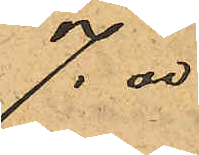7,00
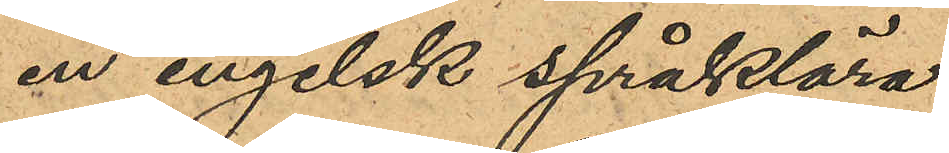en engelsk språklära
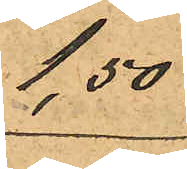1,50
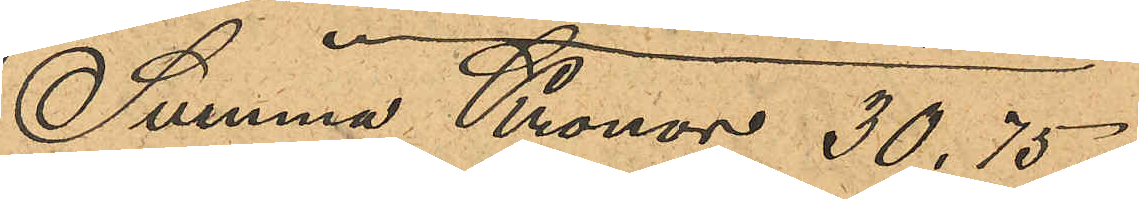Summa Kronor 30,75,
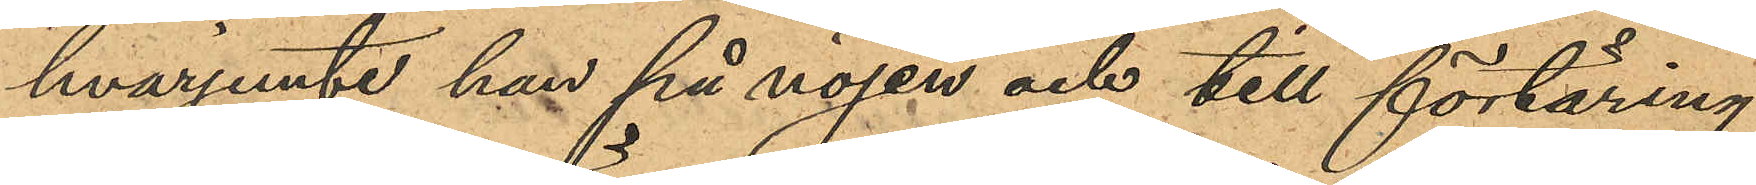hvarjemte han på nöjen och till förtäring
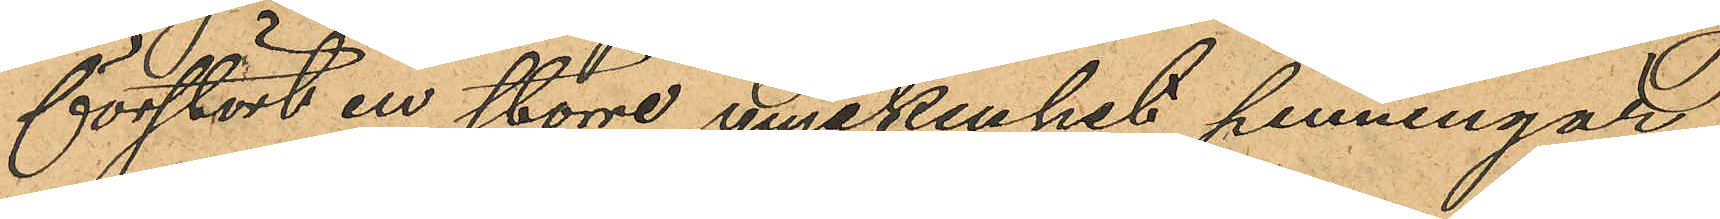förstört en större myckenhet penningar;
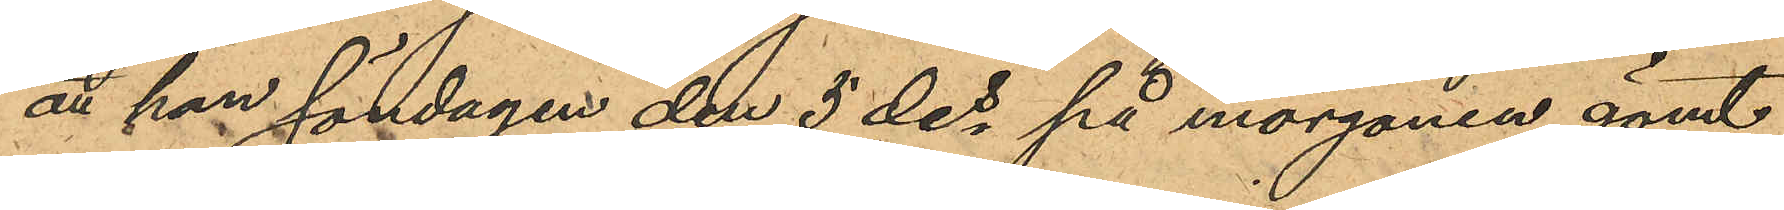att han söndagen den 5 des på morgonen gömt
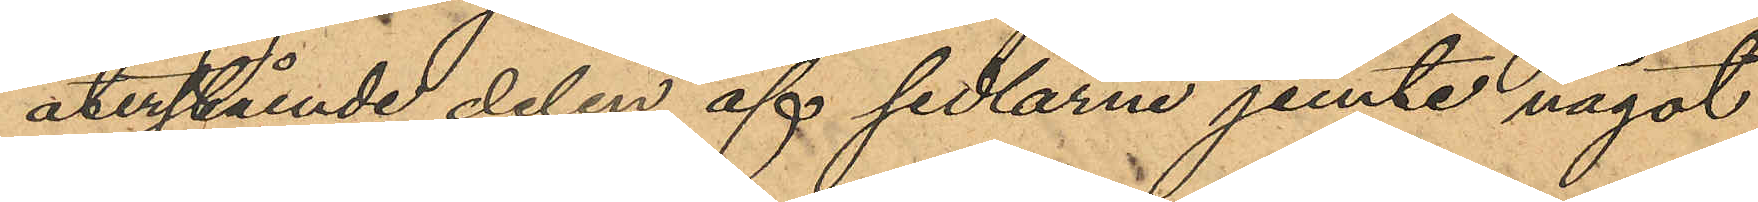återstående delen af sedlarne jemte något
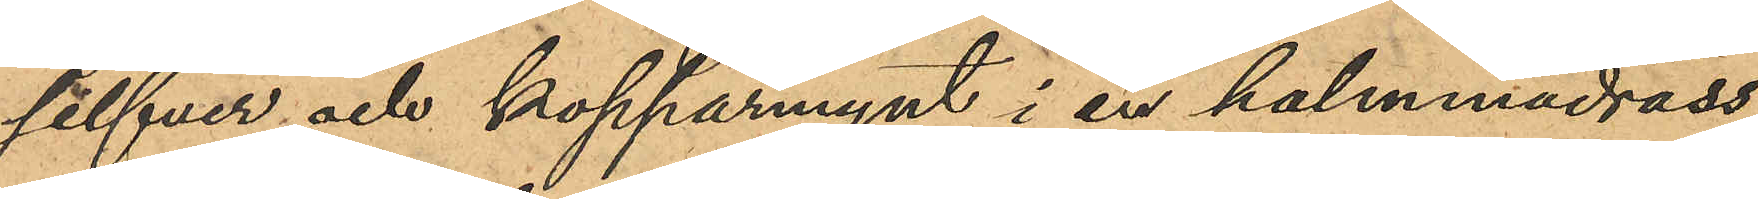silfver och kopparmynt i en halmmadrass,
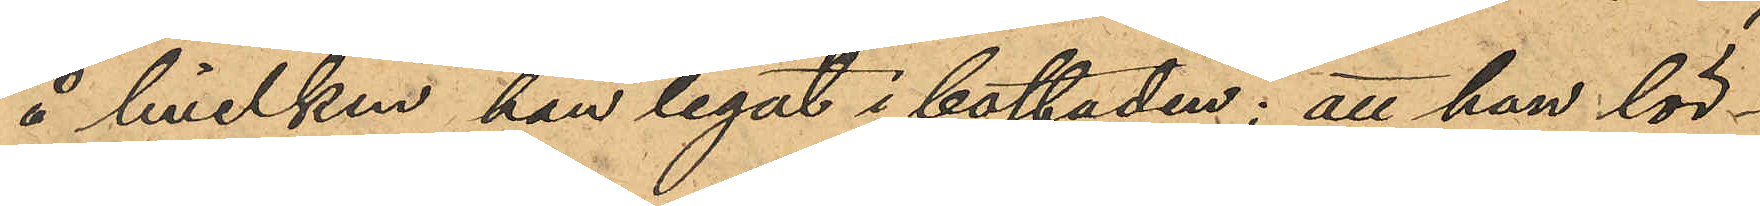å hvilken han legat i bostaden; att han lör¬
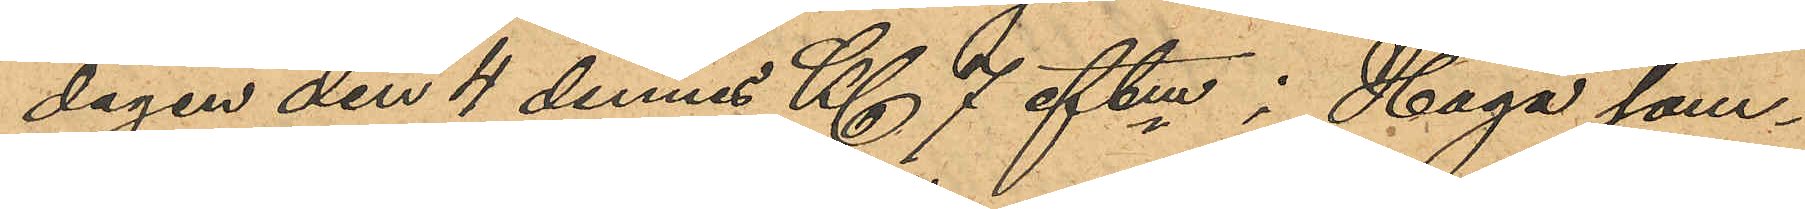dagen den 4 dennes Kl 7 eftm i Haga sam¬
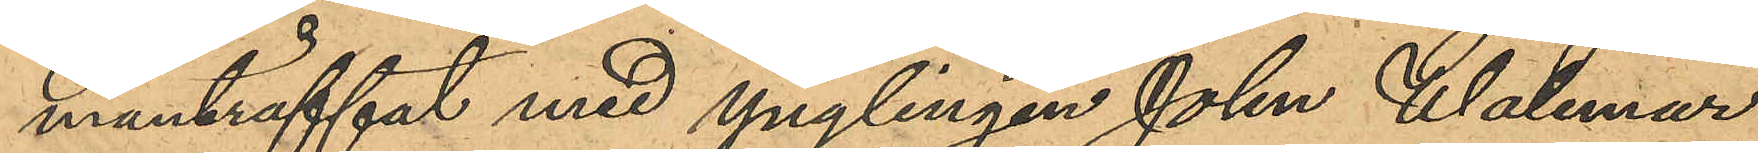manträffat med Ynglingen John Walemar
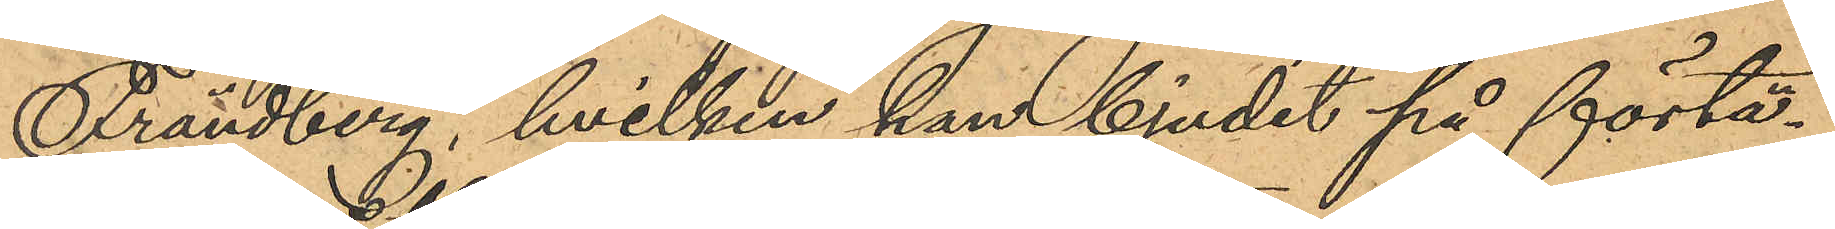Frändberg, hvilken han bjudit på förtä¬
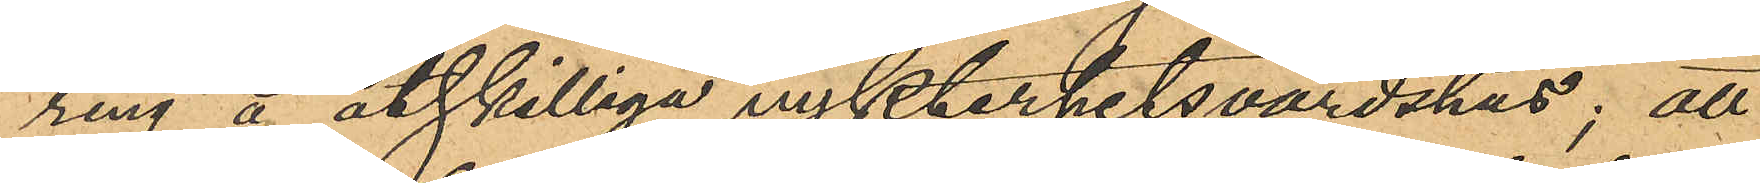ring å åtskilliga nykterhetsvärdshus; att
